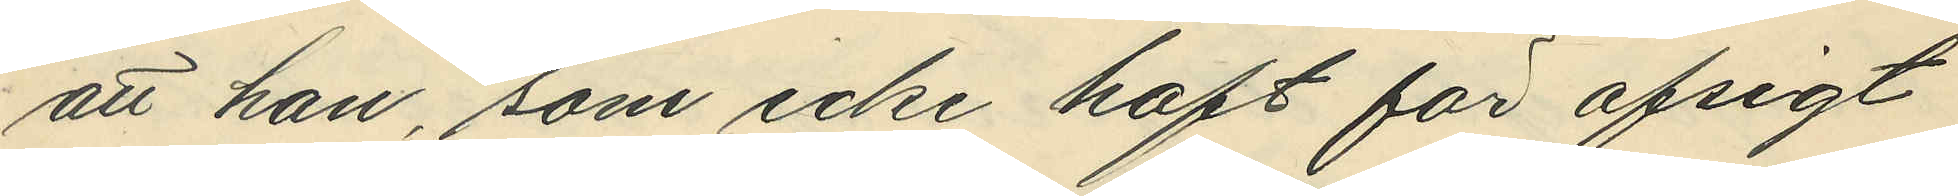att han, som icke haft för afsigt
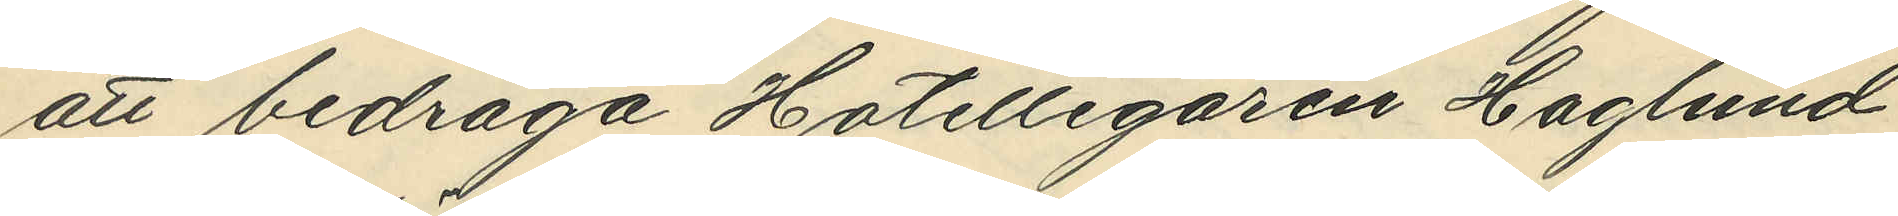att bedraga Hotellegaren Haglund
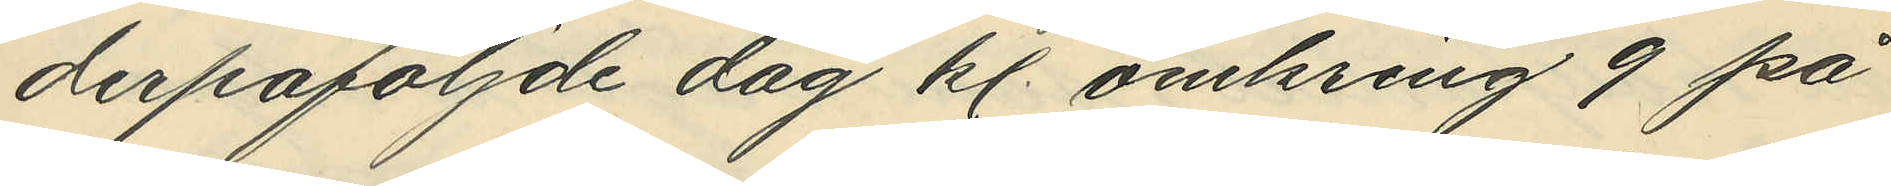derpåföljande dag kl. omkring 9 på
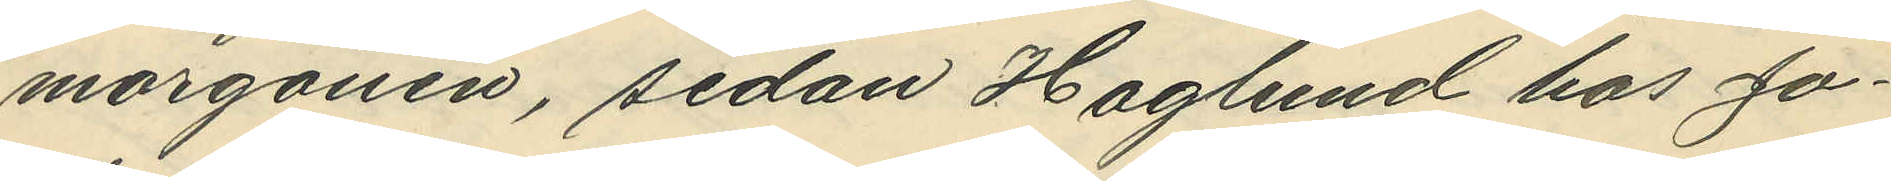morgonen, sedan Haglund hos Jo¬
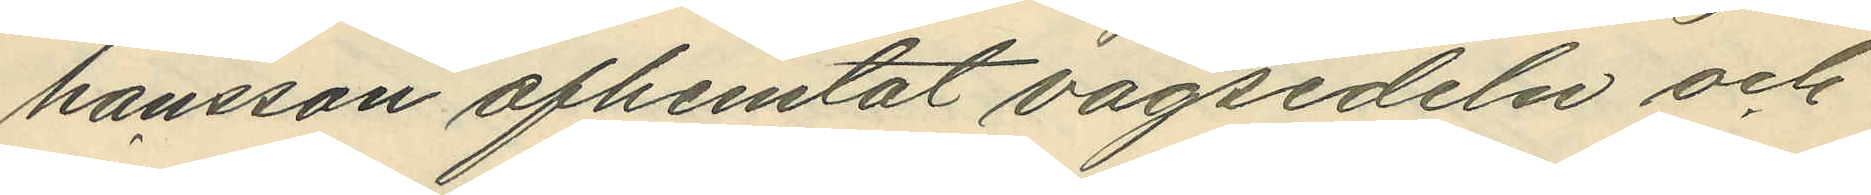hansson afhemtat vågsedeln och
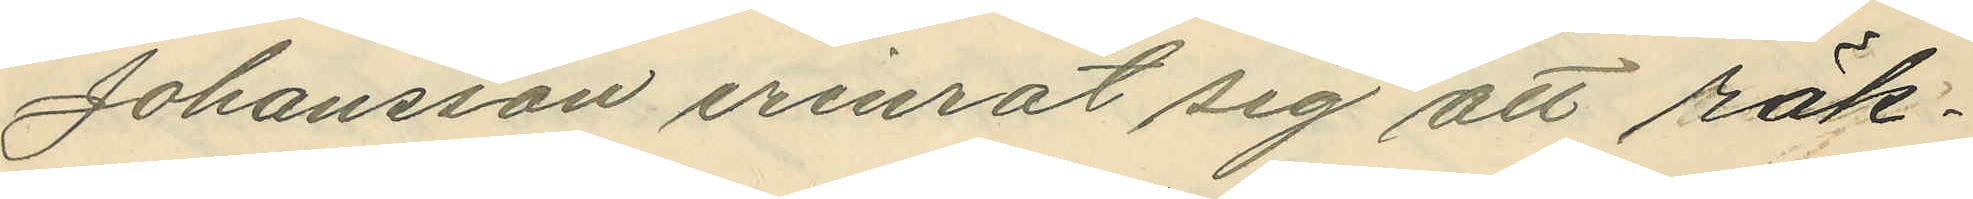Johansson erinrat sig att räk¬
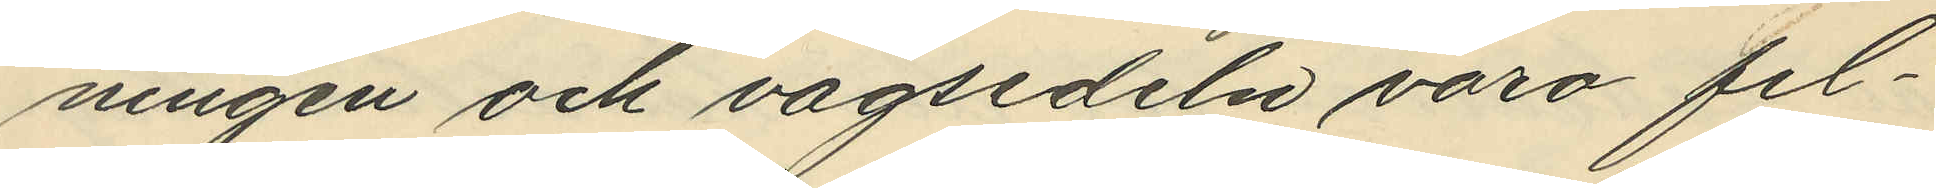ningen och vågsedeln voro fel¬
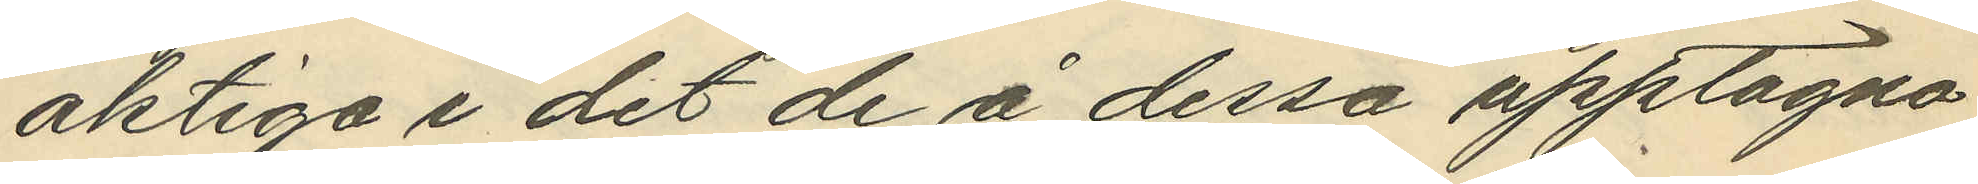aktiga i det de å dessa upptagna
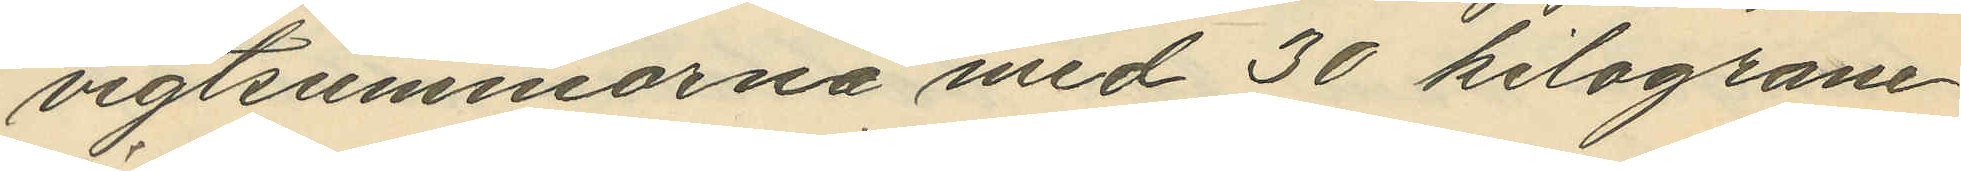vigtsummorna med 30 kilogram
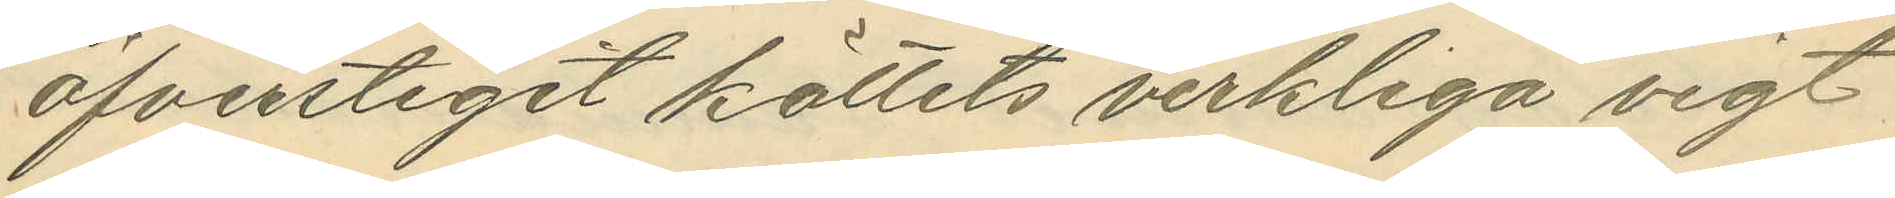öfverstigit köttets verkliga vigt
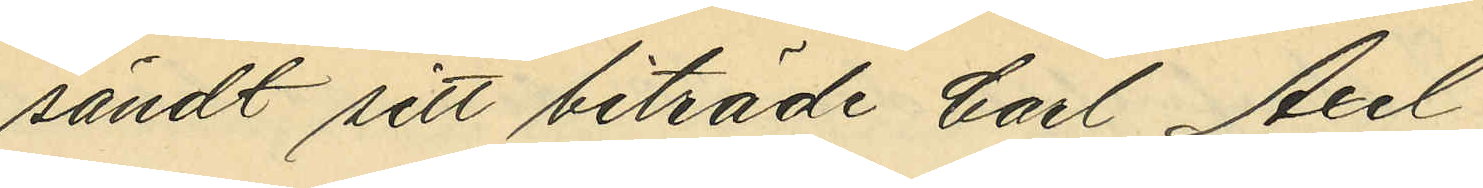sändt sitt biträde Carl Axel
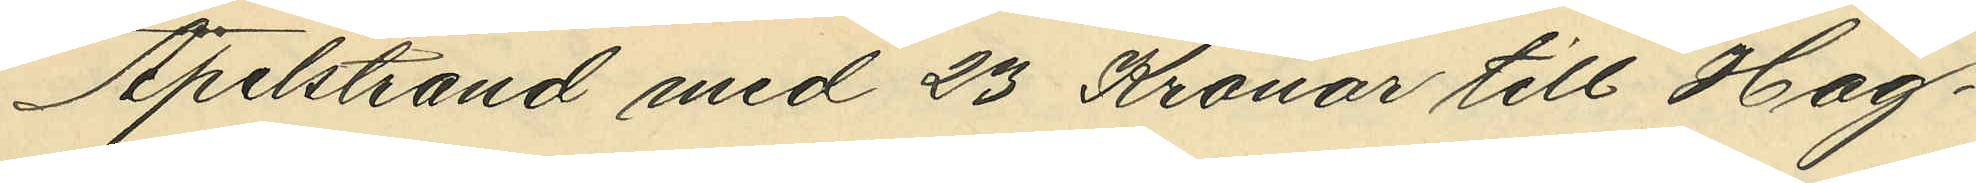Apelstrand med 23 Kronor till Hag¬
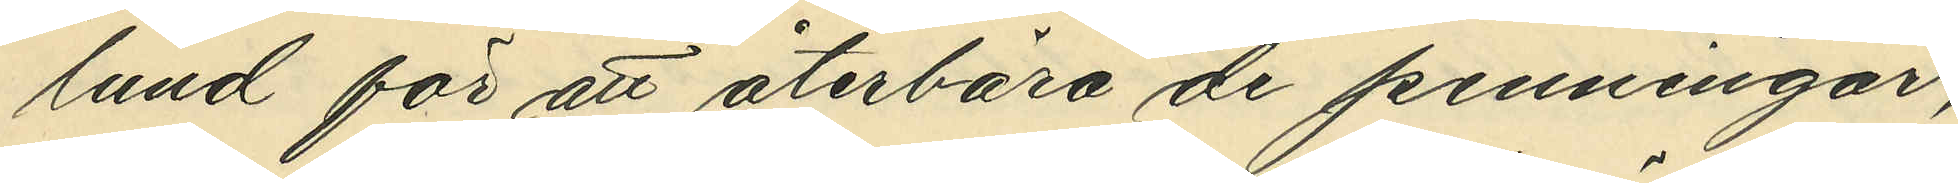lund för att återbära de penningar,
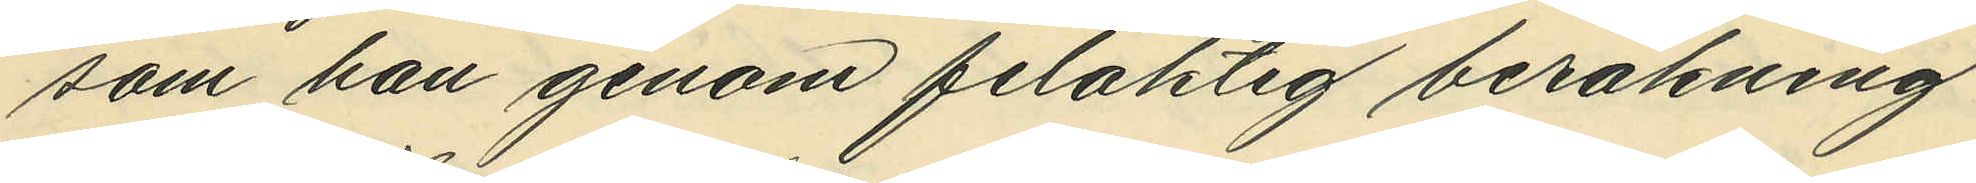som han genom felaktig beräkning
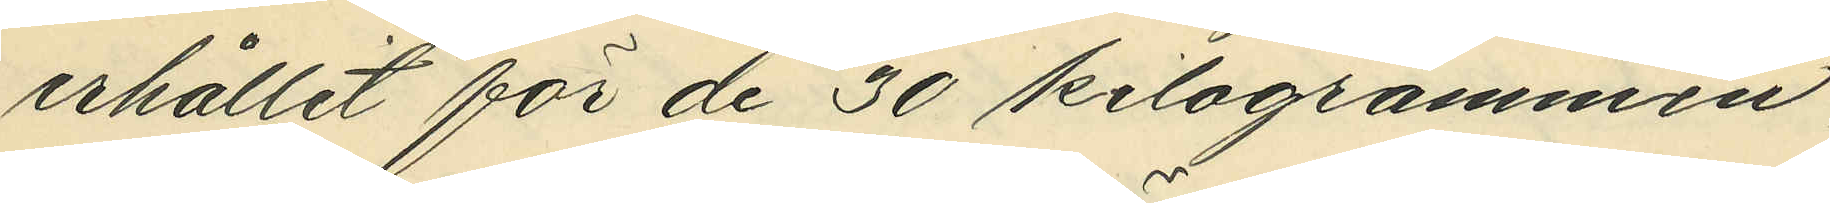erhållit för de 30 kilogrammen,
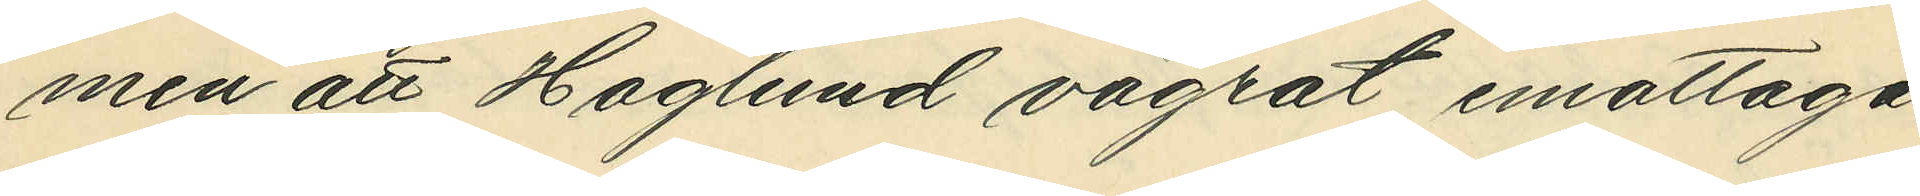men att Haglund vägrat emottaga
